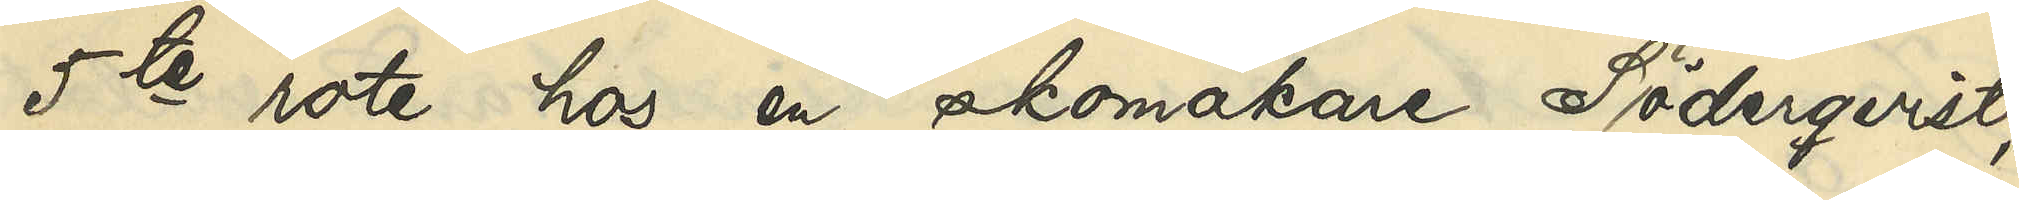5te rote hos en skomakare Söderqvist;
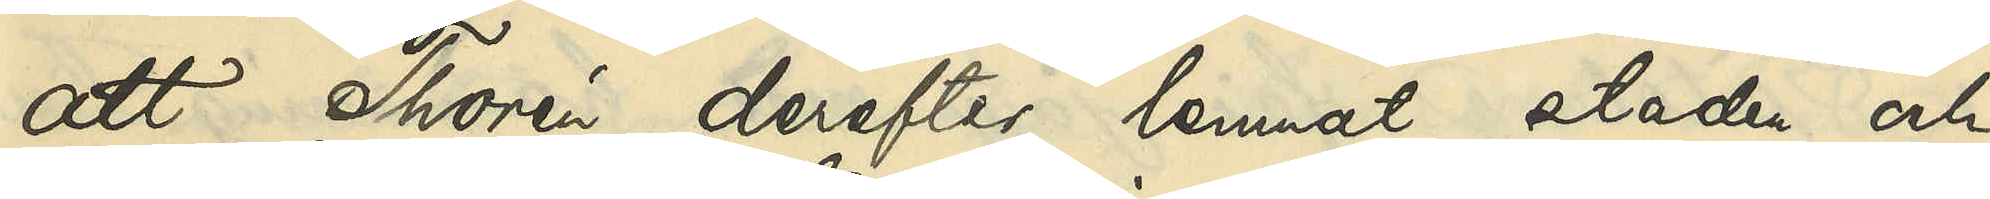att Thorén derefter lemnat staden och
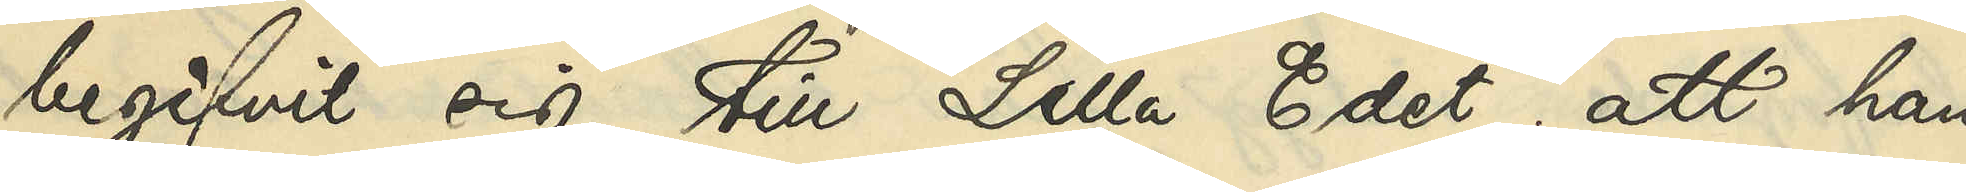begifvit sig till Lilla Edet; att han
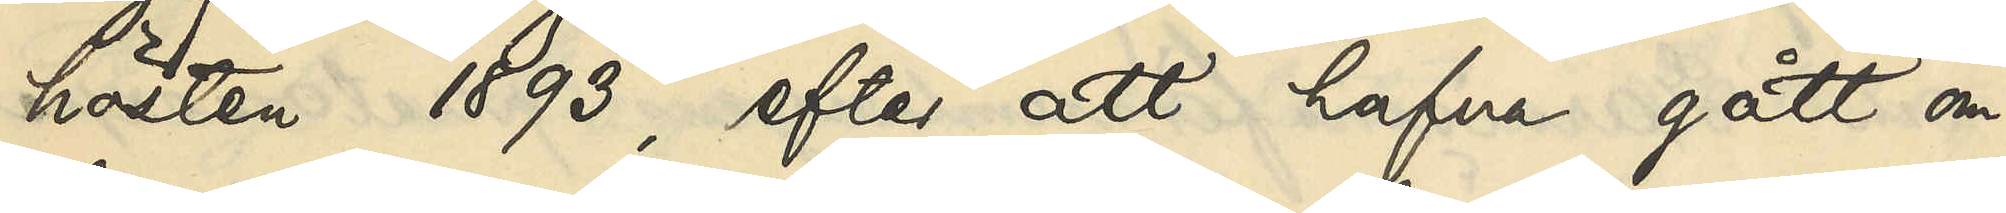hösten 1893, efter att hafva gått om¬
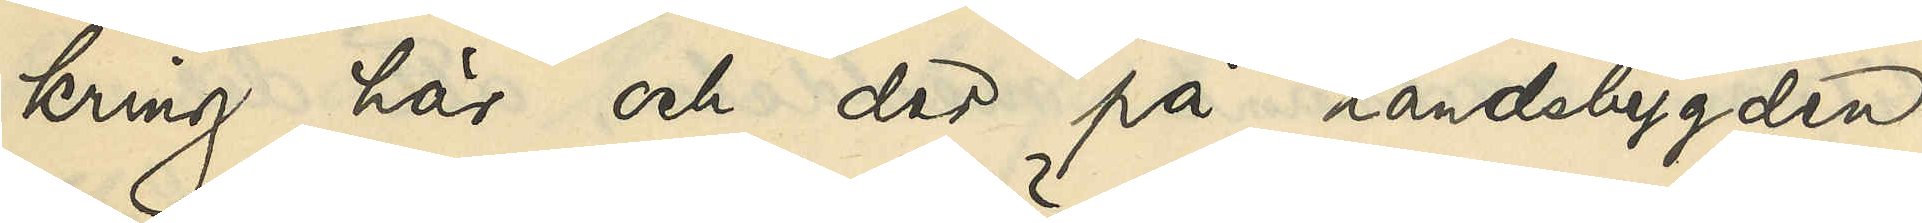kring här och der på landsbygden,
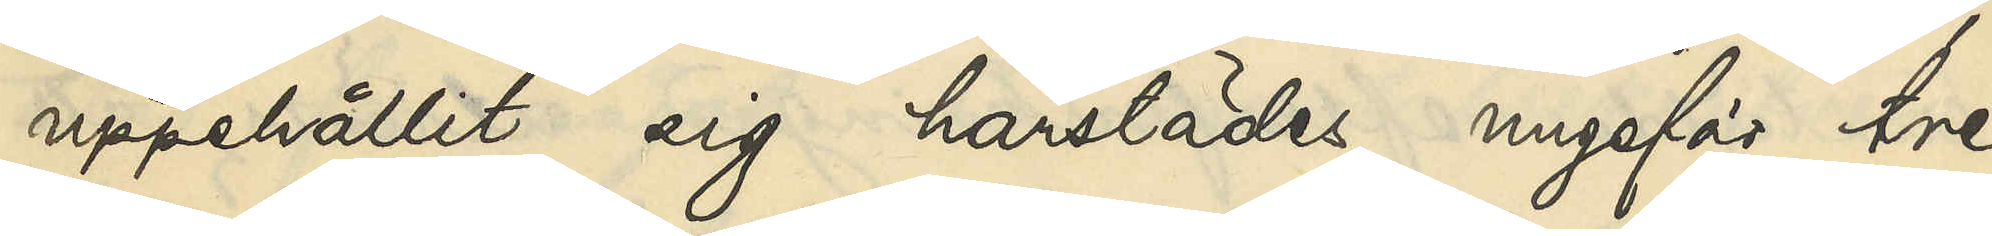uppehållit sig härstädes ungefär tre
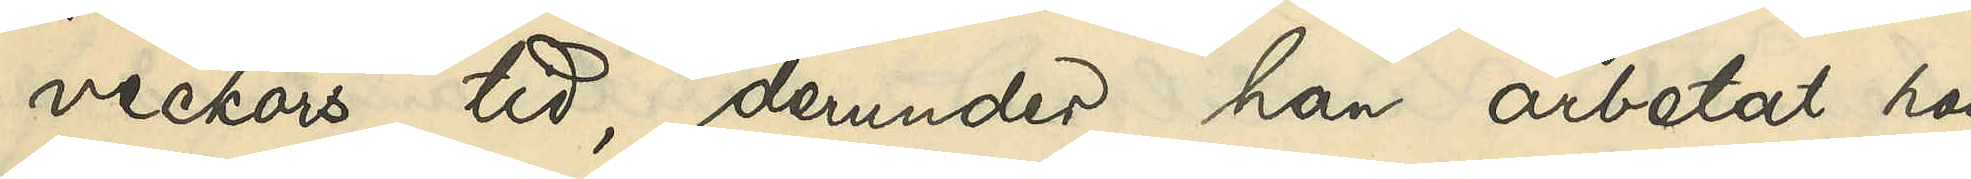veckors tid, derunder han arbetat hos
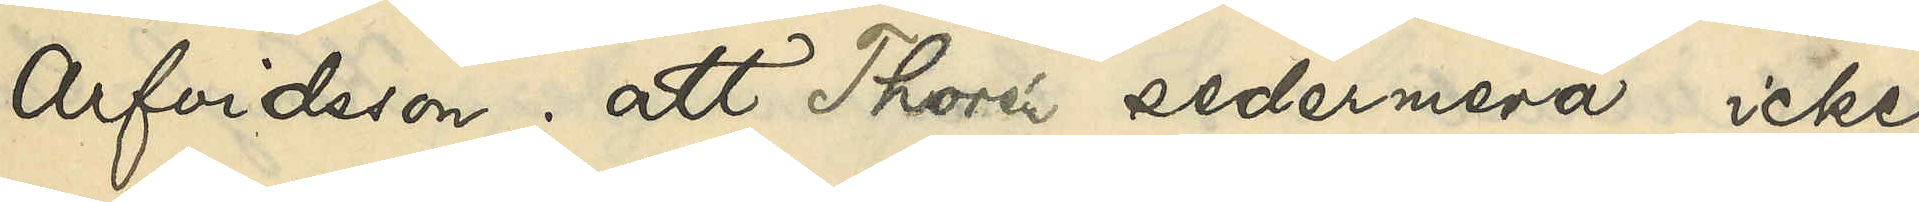Arfvidsson; att Thorén sedermera icke
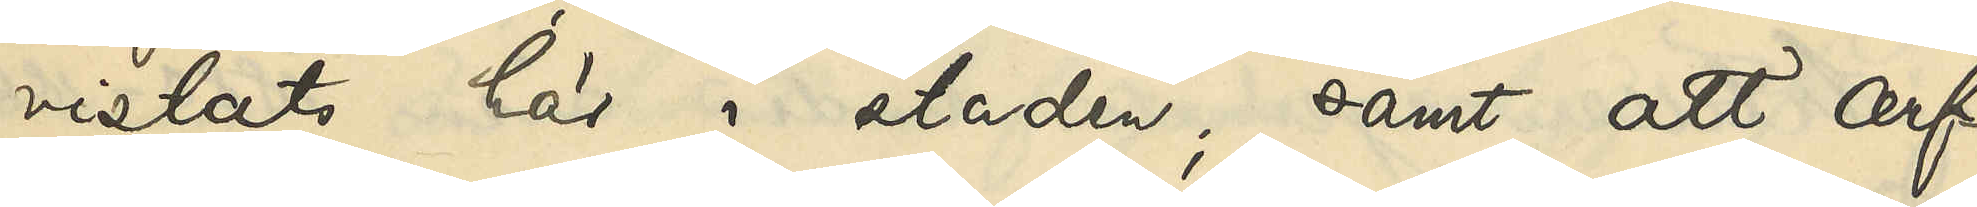vistats här i staden; samt att Arf¬
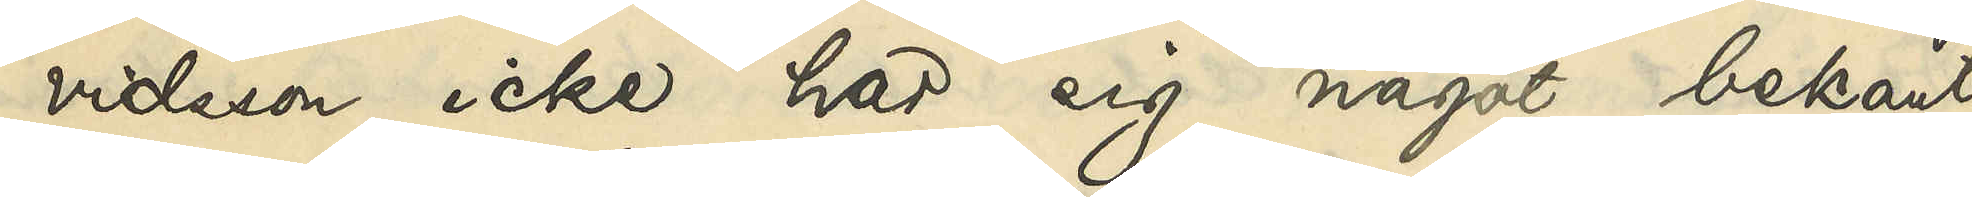vidsson icke har sig något bekant
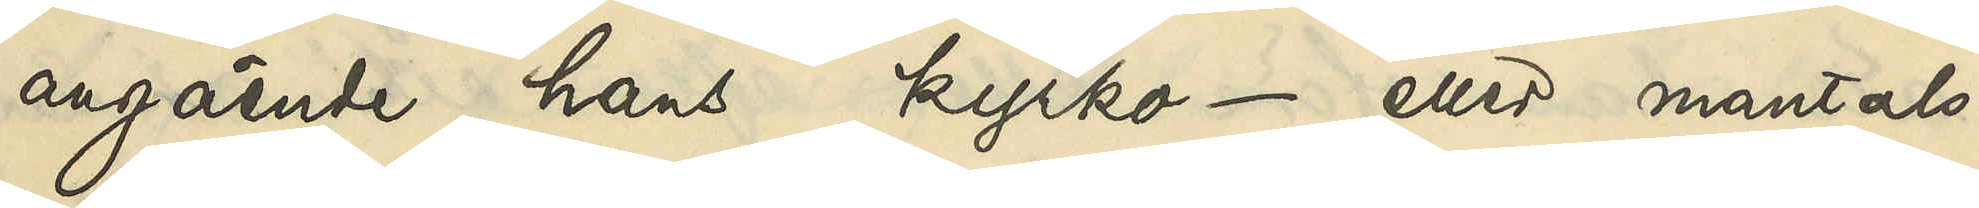angående hans kyrko - eller mantals¬
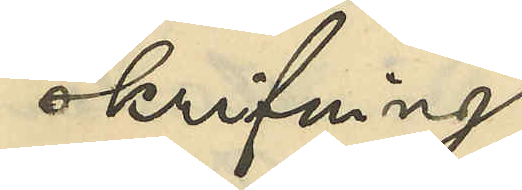skrifvning.
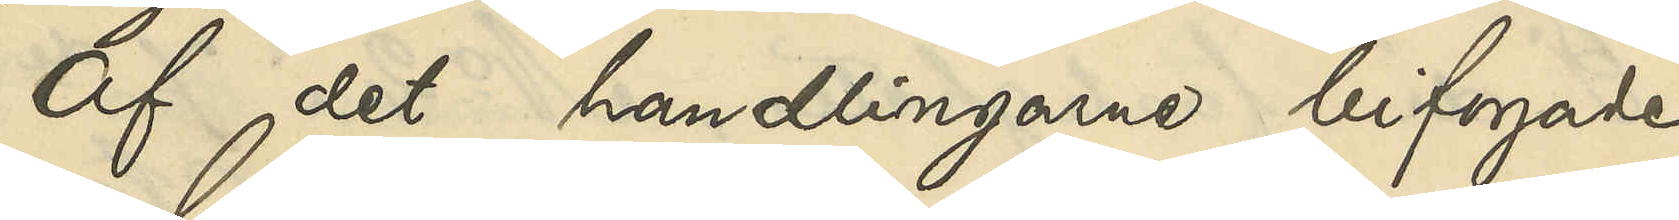Af det handlingarne bifogade
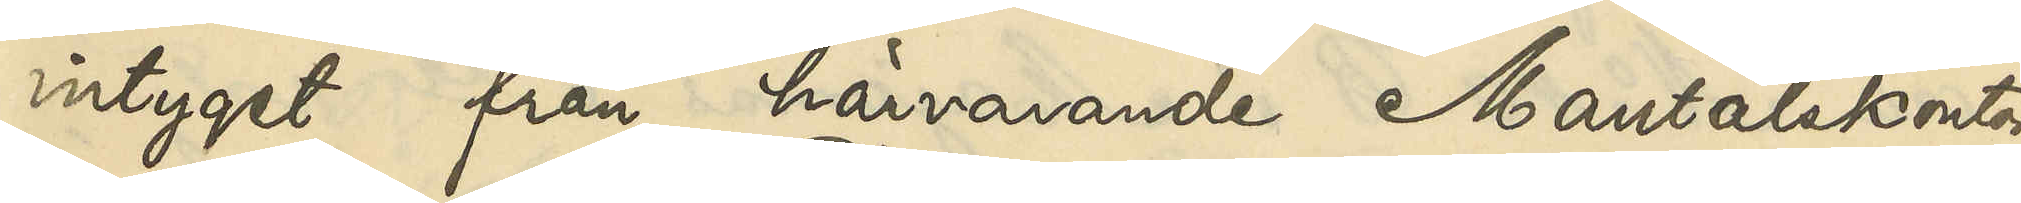intyget från härvarande Mantalskontor
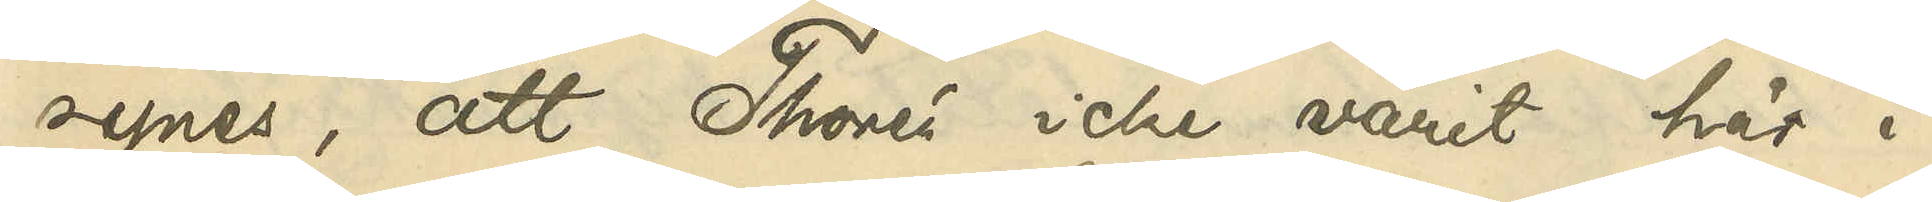synes, att Thorén icke varit här i
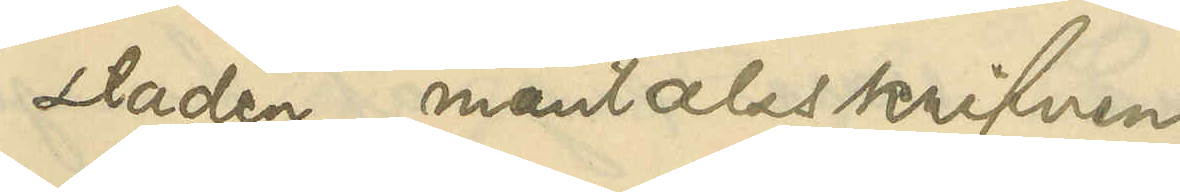staden mantalsskrifven.
